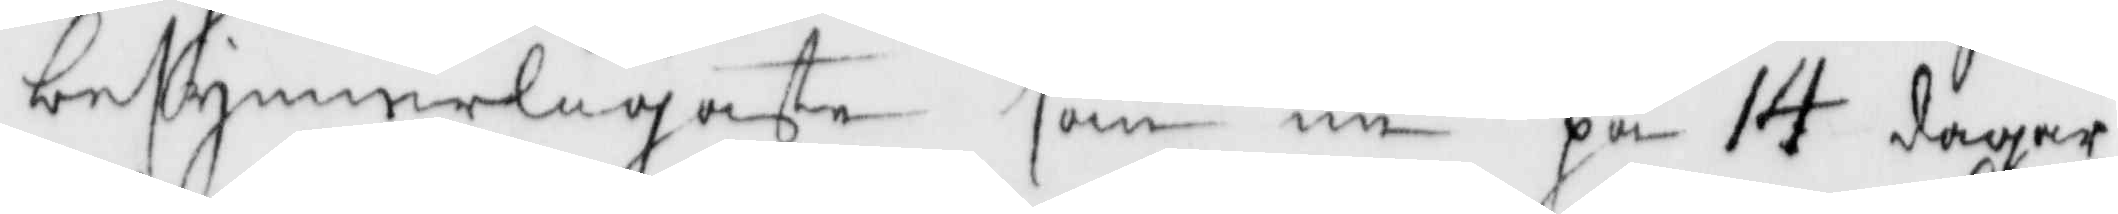besynnerligaste som nu på 14 dagar
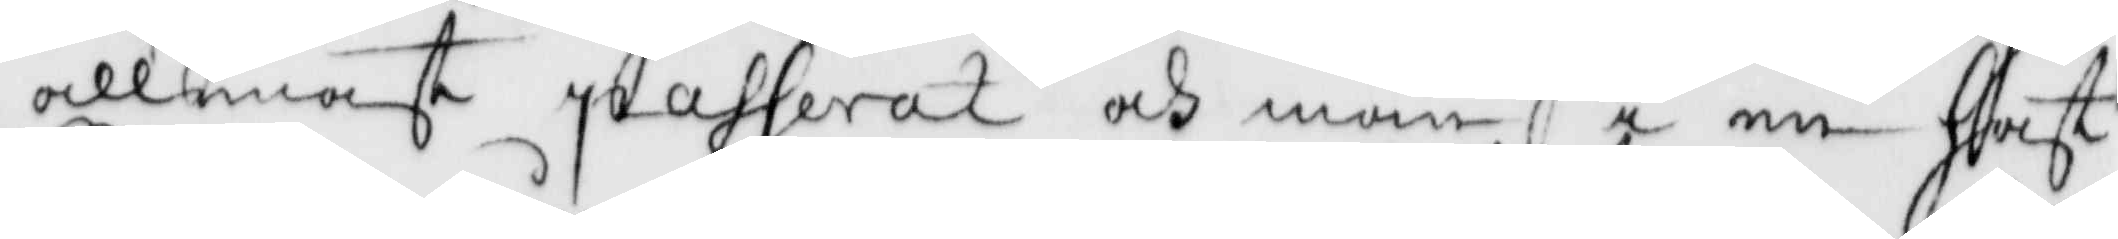allneast passerat och man i en hast
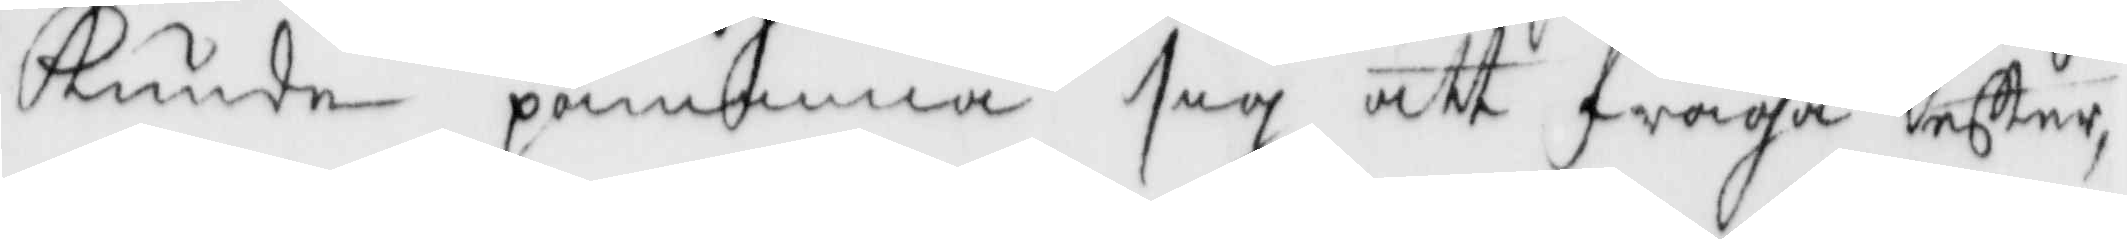kunde påminna sig  att fråga efter
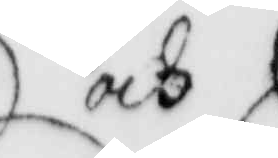och
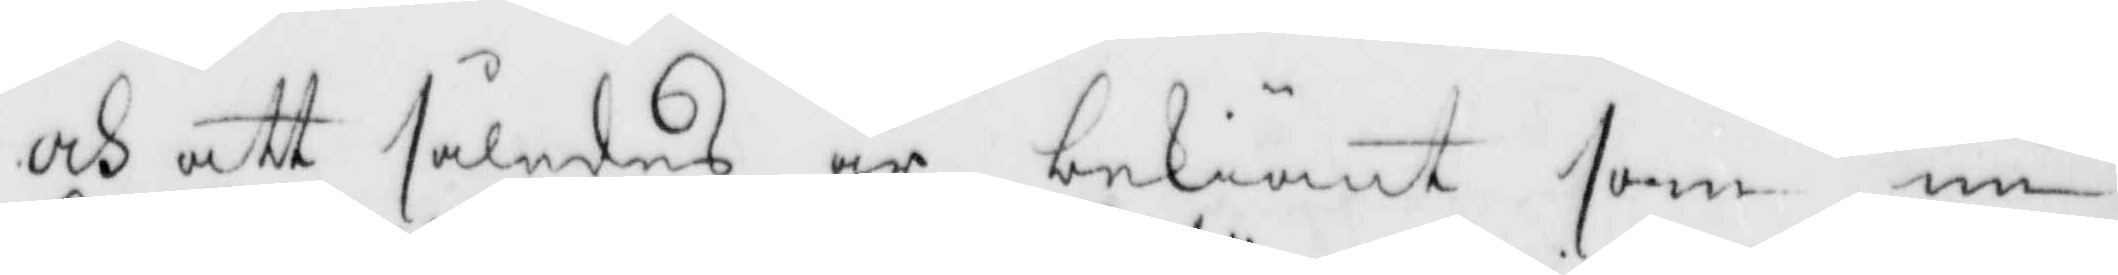och att således är bekiönt som nu
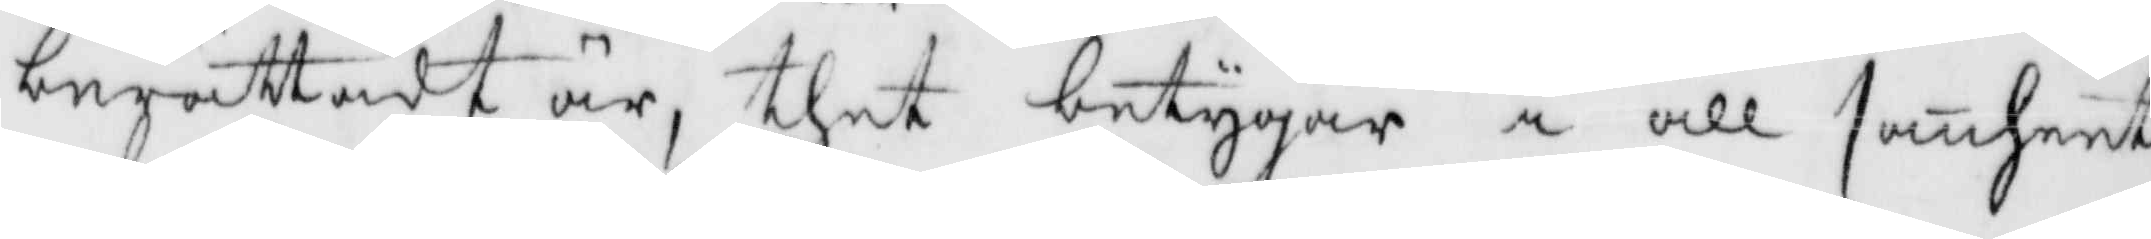berättadt är, thet betygar i all sannheet
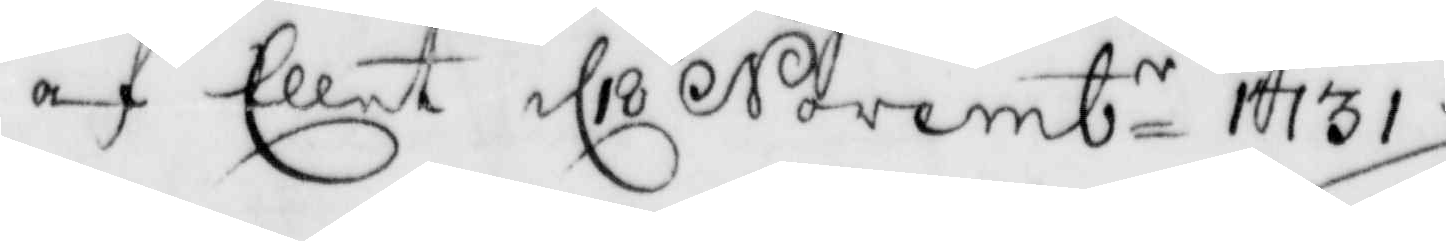af Ellest d 18 Novembr 1731./
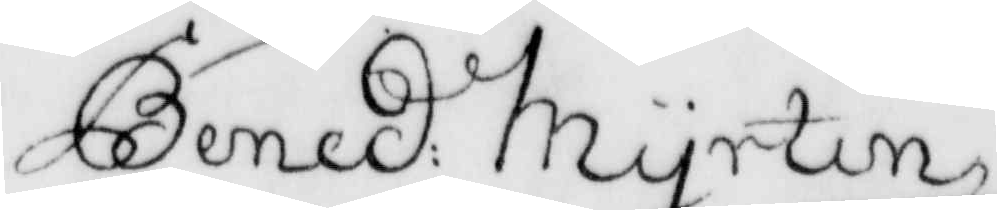Bened: Myrtin
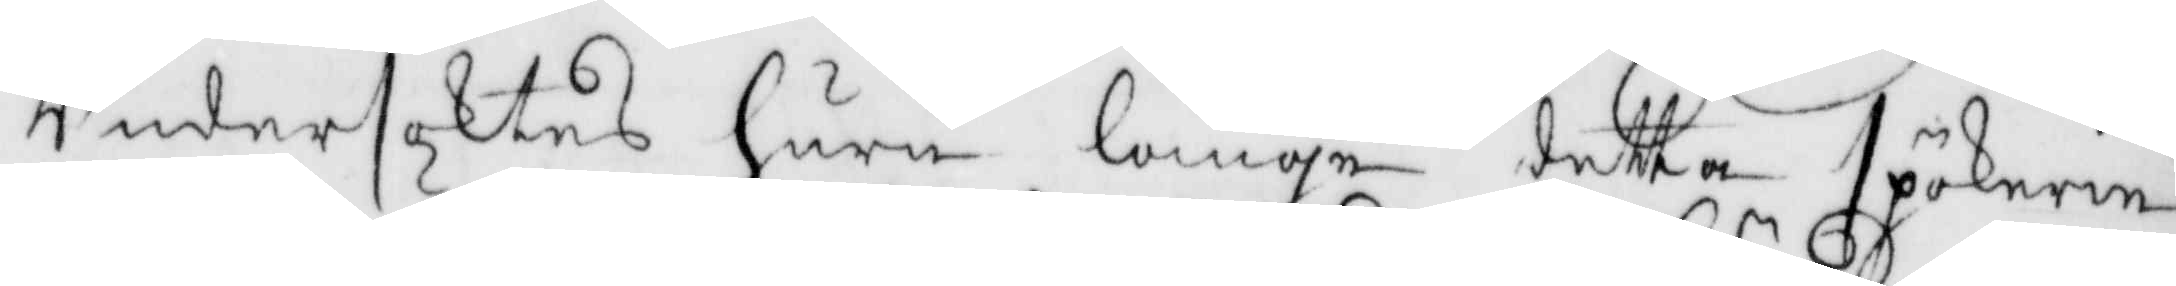Undersöktes huru länge detta spökerie
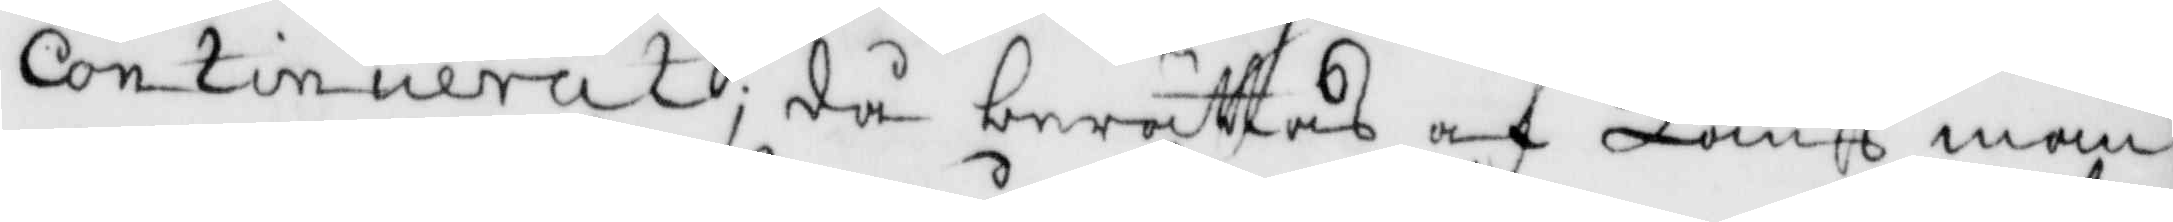Continuerat; då berättas af Länsman¬
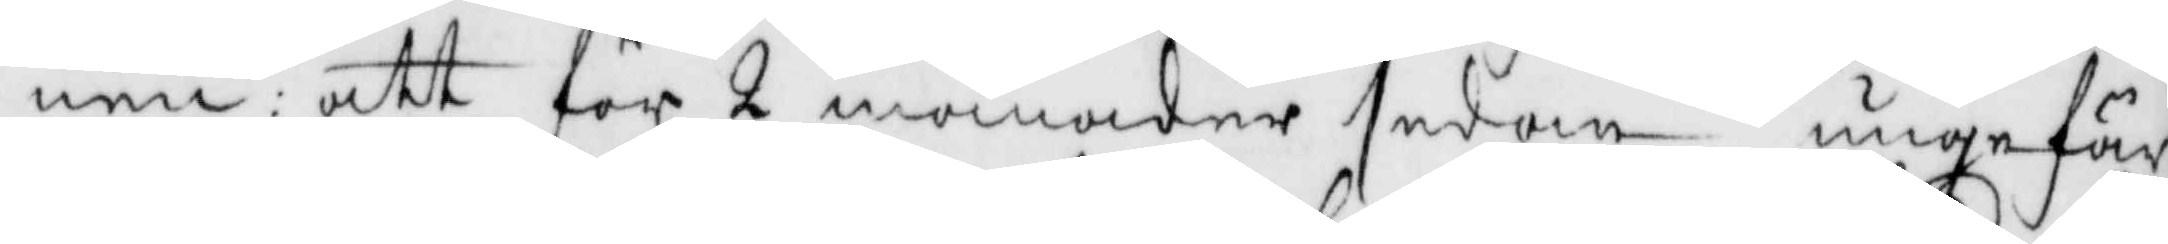nen: att för 2 månader sedan ungefär
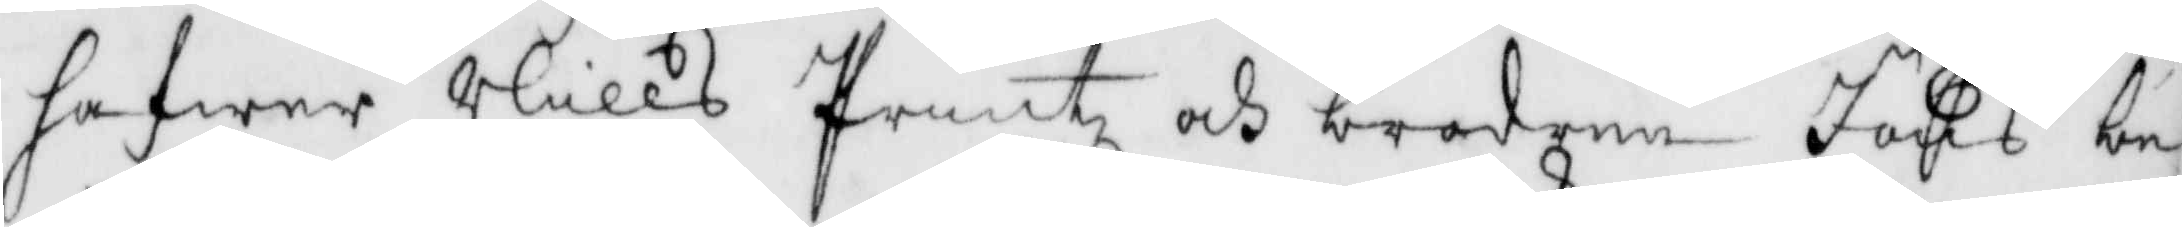hafwer Nills Printz och brodern Jöns be¬
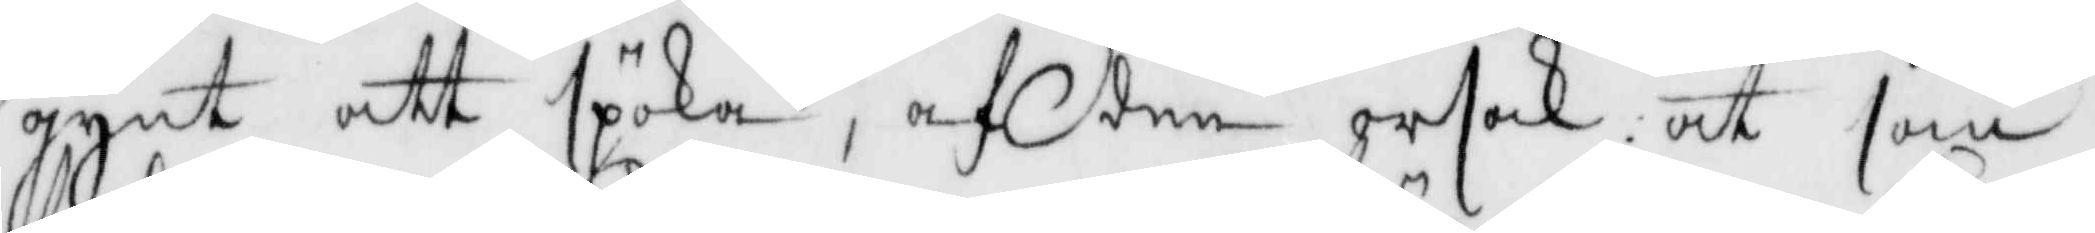gynt att spöka, af den orsak at som
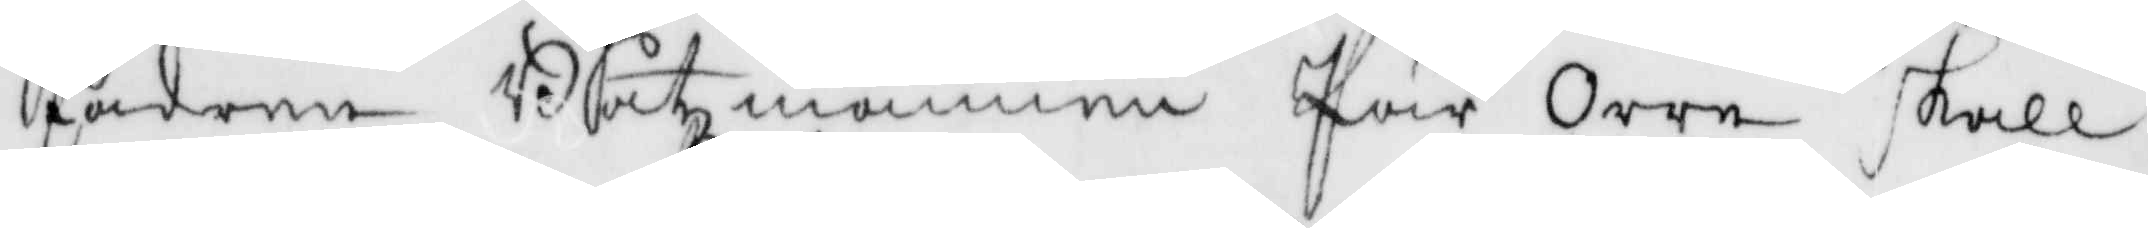fadern Båtzmannen Pär Orre skall
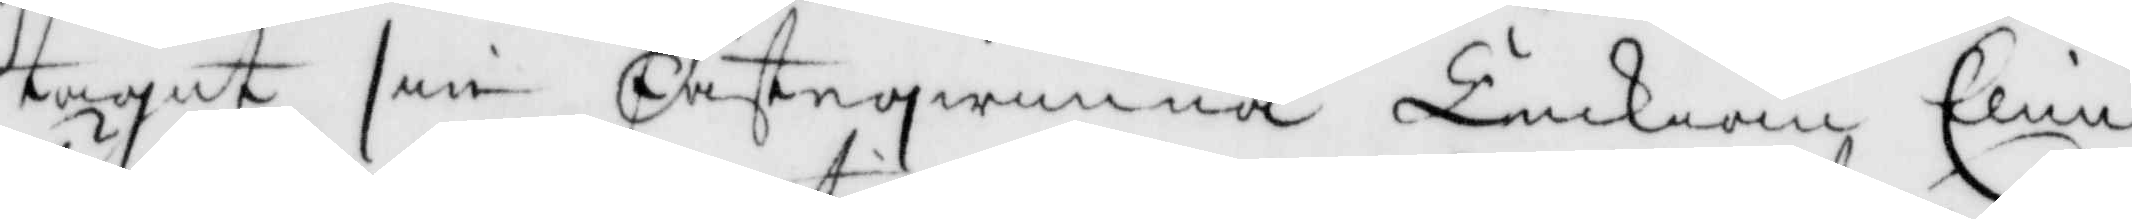tagit sin Fästeqwinna Änkian Elin
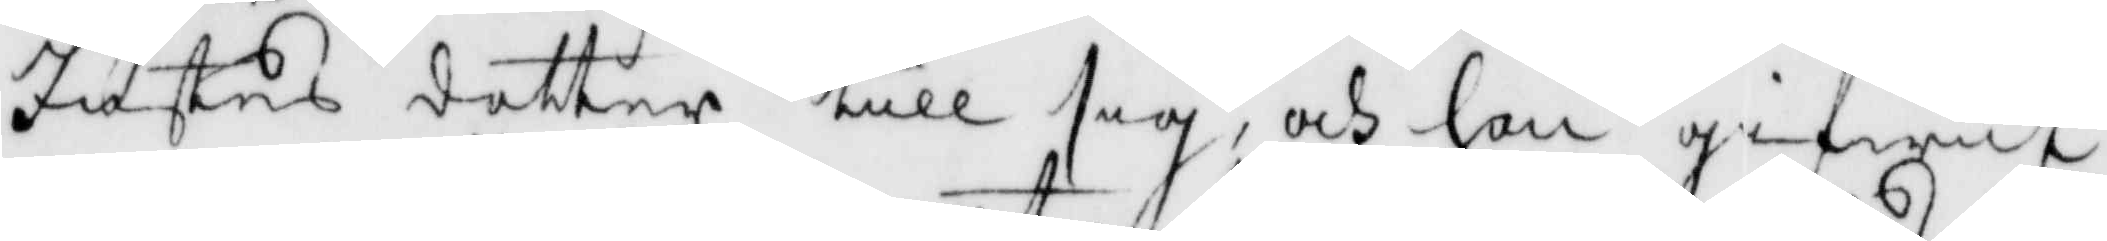justes dotter till sig, och han gifwit
